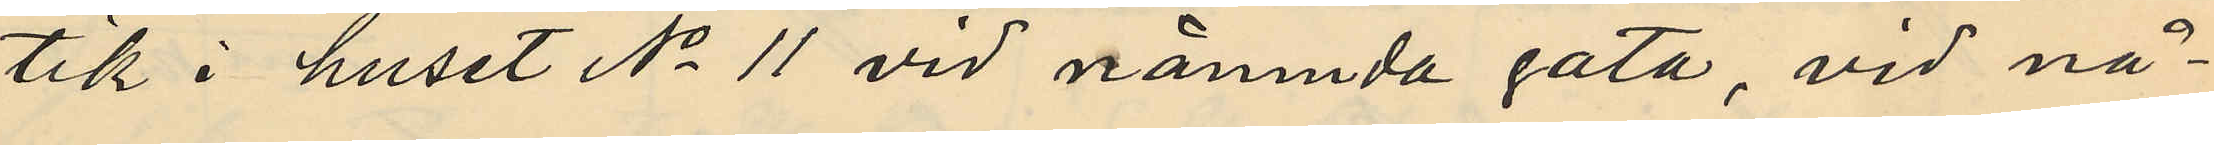tik i huset No 11 vid nämnda gata, vid nå¬
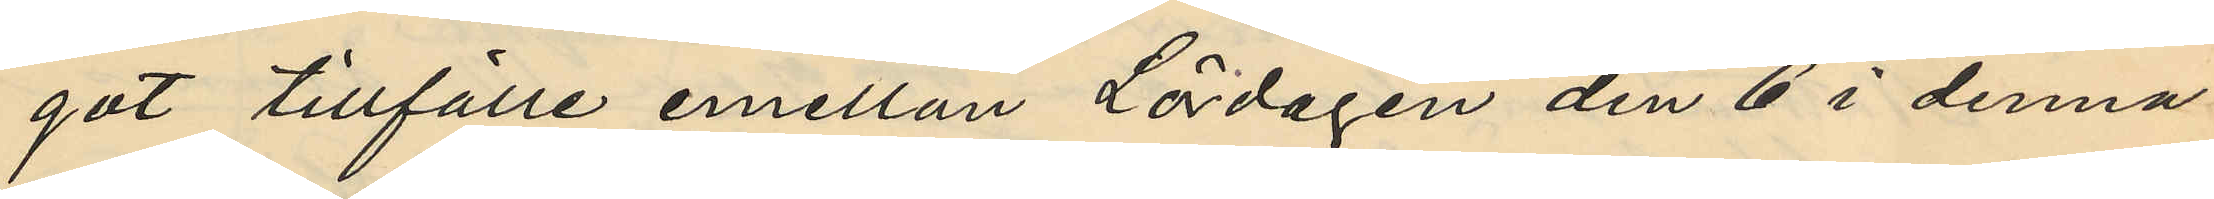got tillfälle emellan Lördagen den 6 i denna
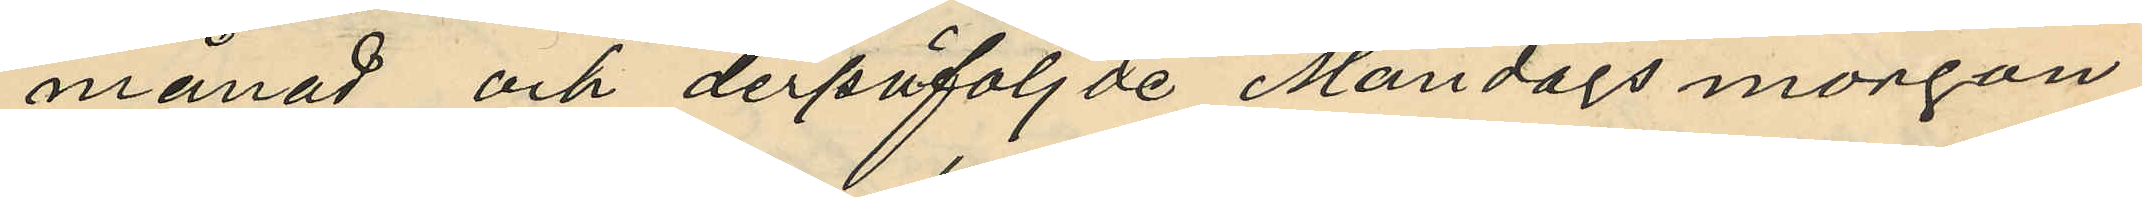månad och derpåföljde Måndags morgon
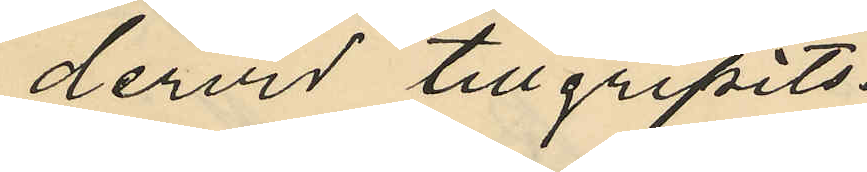dervid tillgripits:
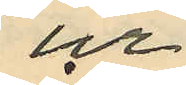ur
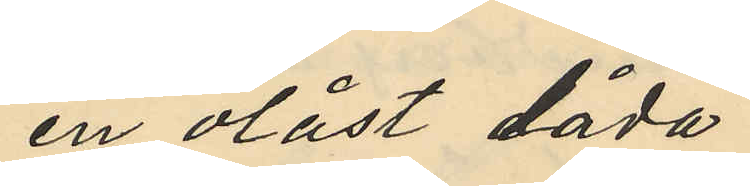en olåst låda
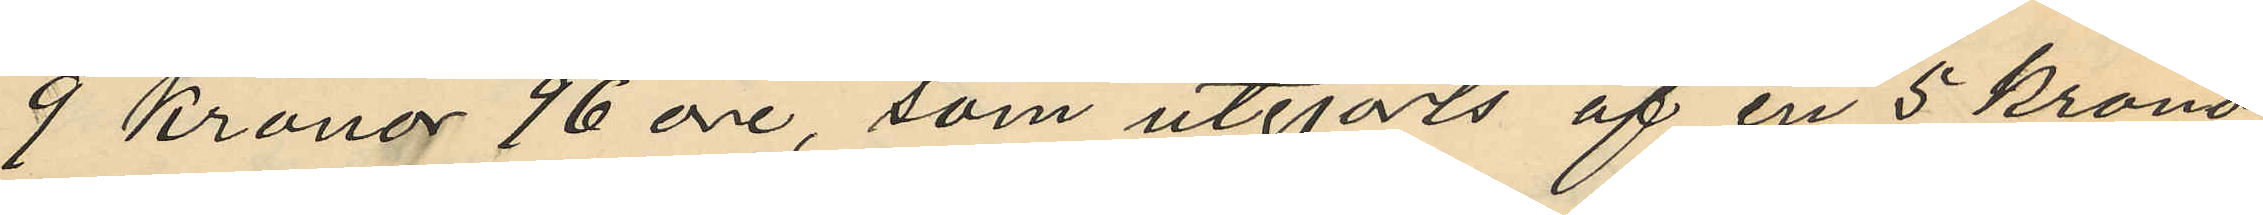9 Kronor 96 öre, som utgjorts af en 5 krono¬
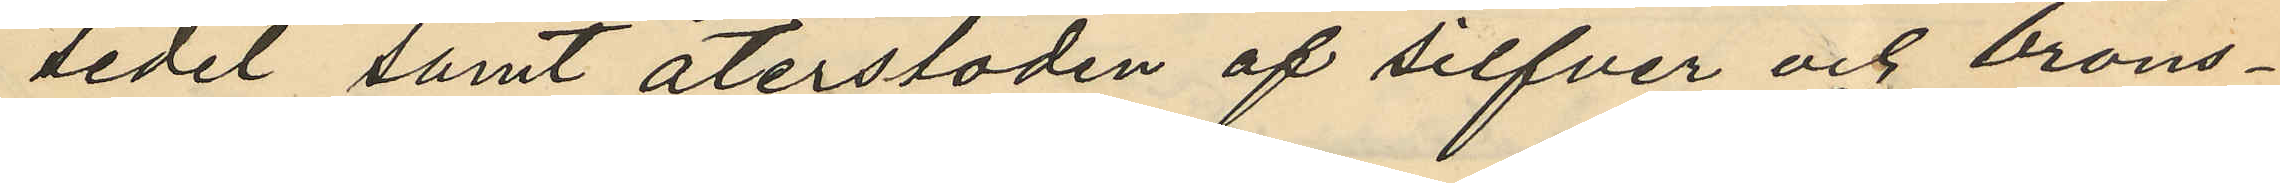sedel samt återstoden af silfver och brons¬
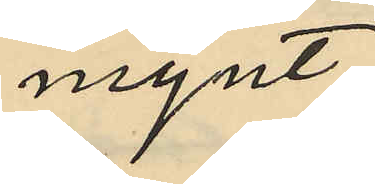mynt,
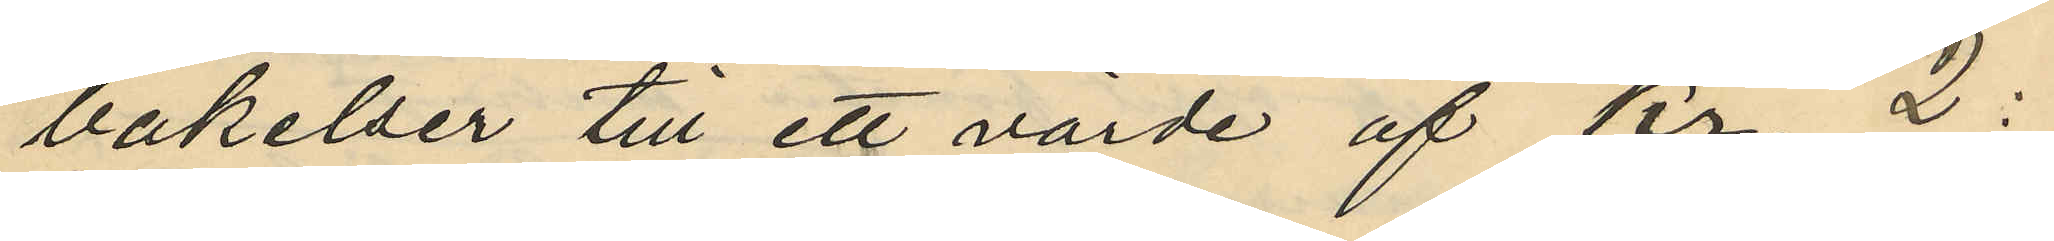bakelser till ett värde af Kr. 2:
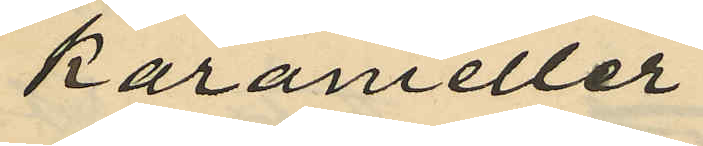karameller
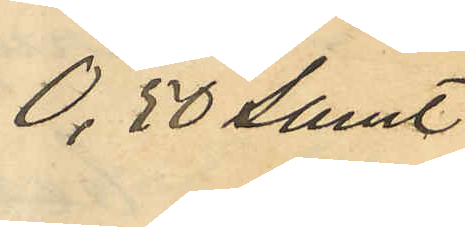0,50 samt
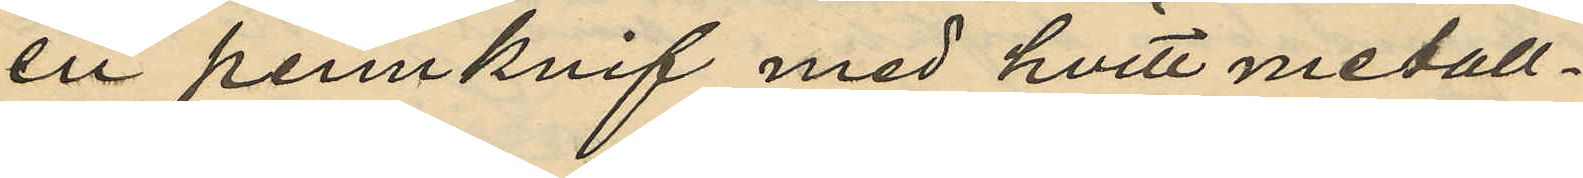en pennknif med hvitt metall¬
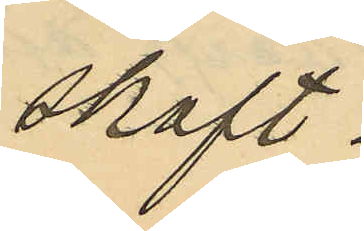skaft
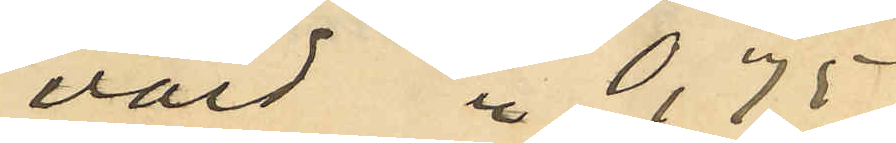värd " 0,75
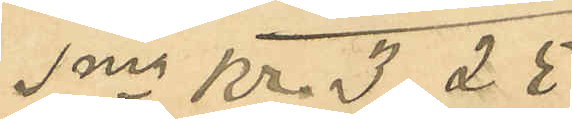Sma Kr 3,25
